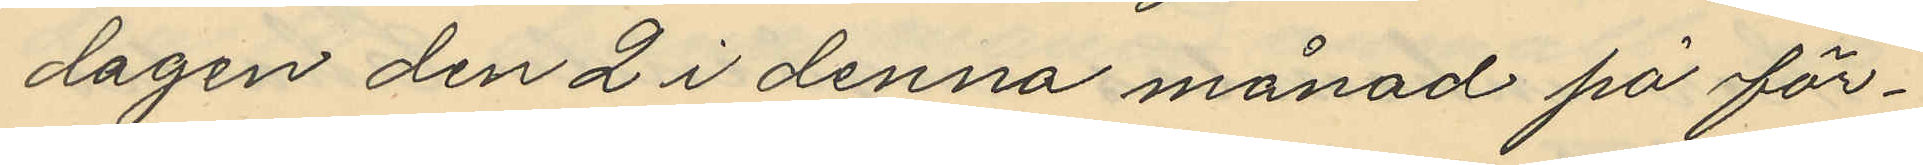dagen den 2 i denna månad på för¬
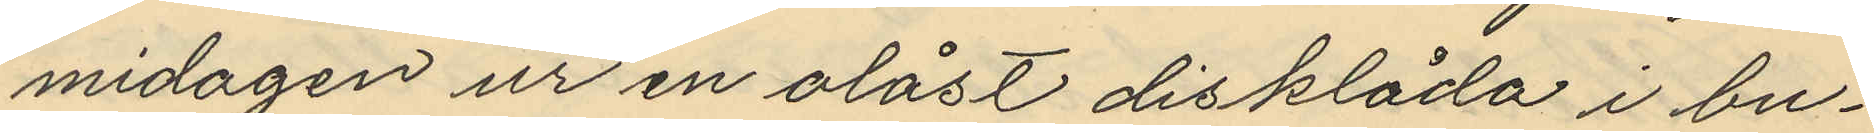midagen ur en olåst disklåda i bu¬
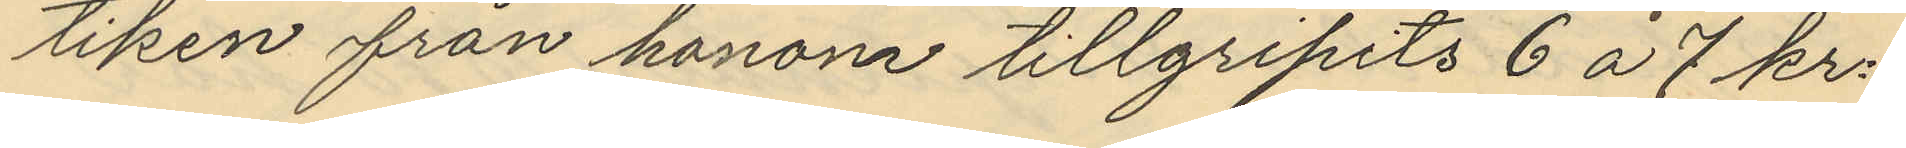tiken från honom tillgripits 6 á 7 kr.
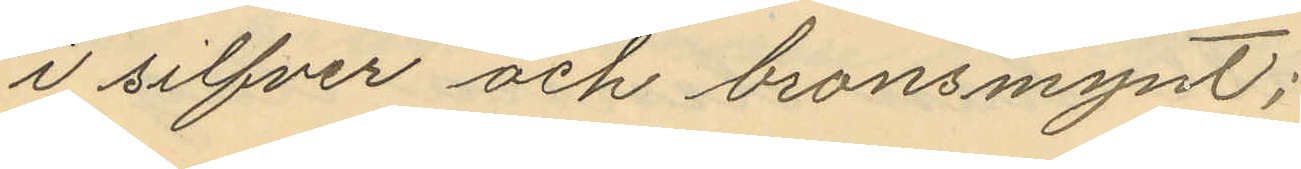i silfver och bronsmynt;
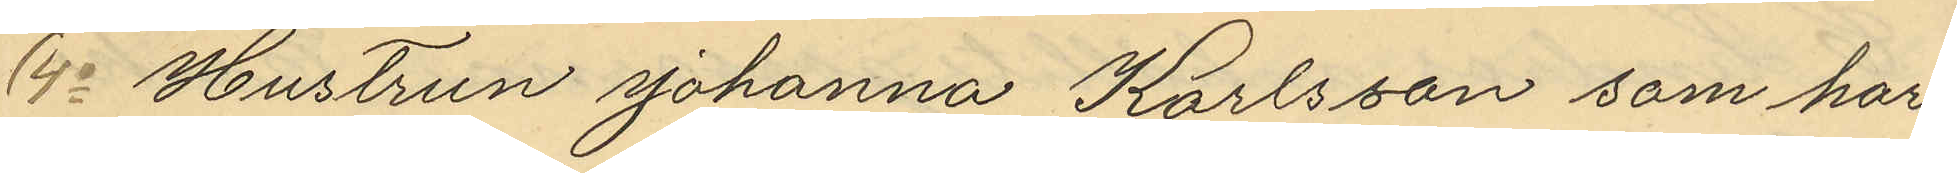4o Hustrun Johanna Karlsson som har
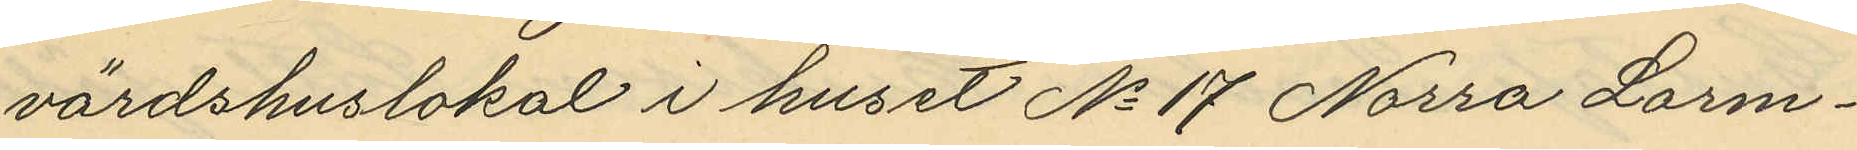värdshuslokal i huset No 17 Norra Larm¬
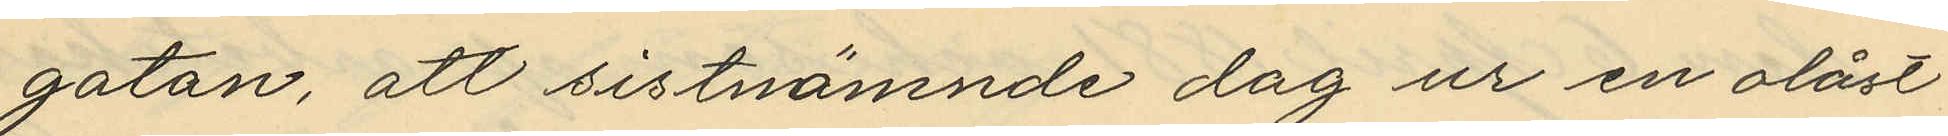gatan, att sistnämnde dag ur en olåst
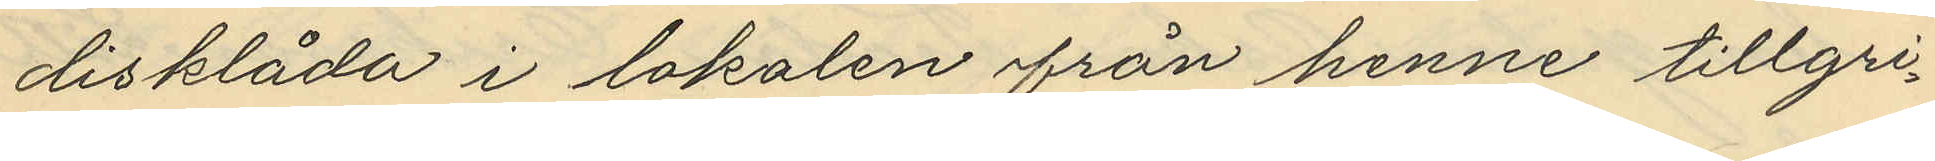disklåda i lokalen från henne tillgri¬
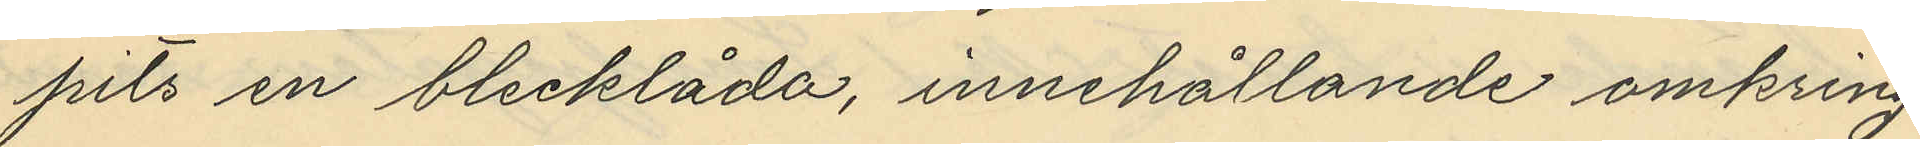pits en blecklåda, innehållande omkring
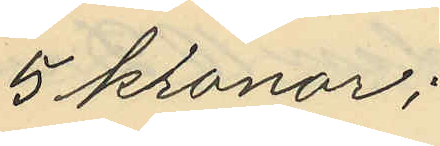5 kronor;
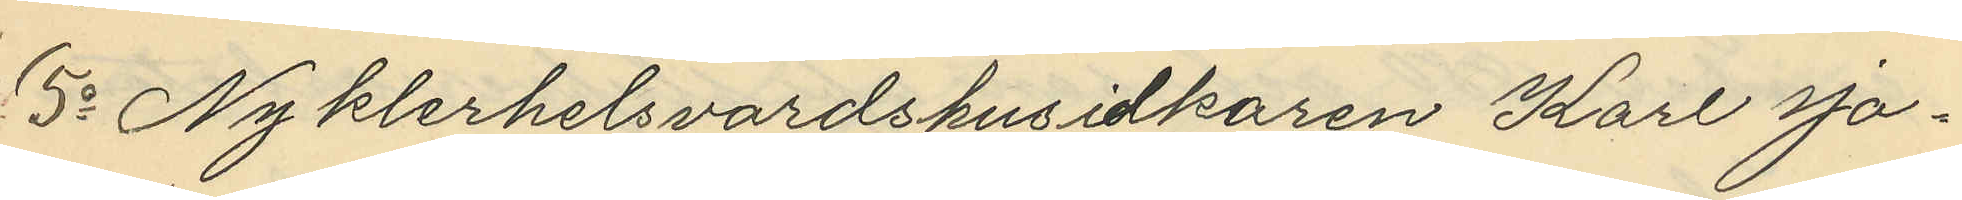5o Nykterhetsvärdshusidkaren Karl Jo¬
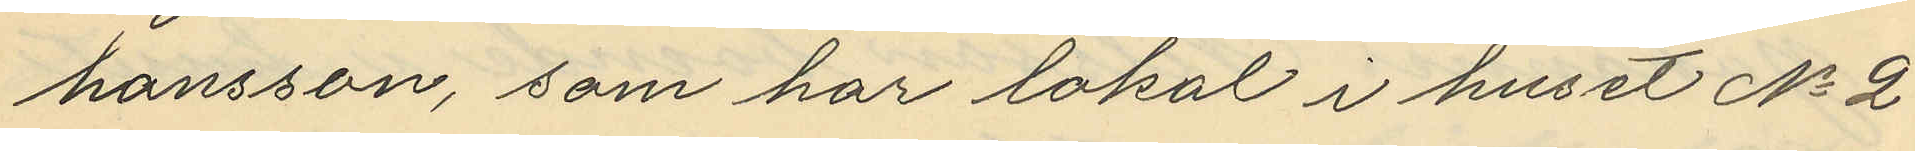hansson, som har lokal i huset No 2
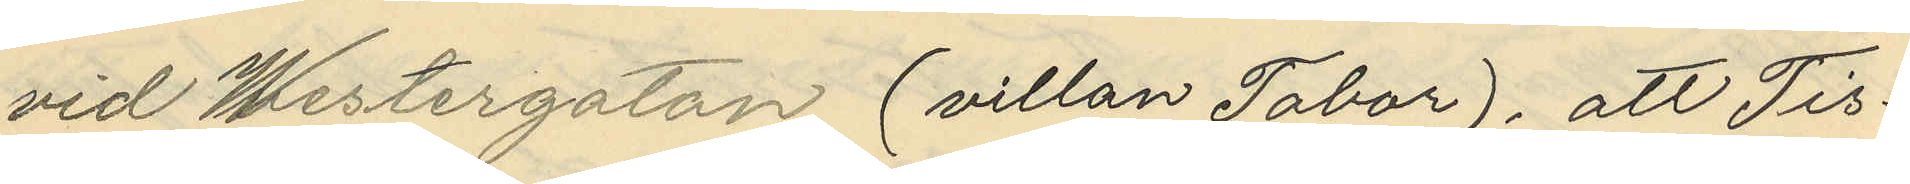vid Westergatan (villan Tabor), att Tis¬
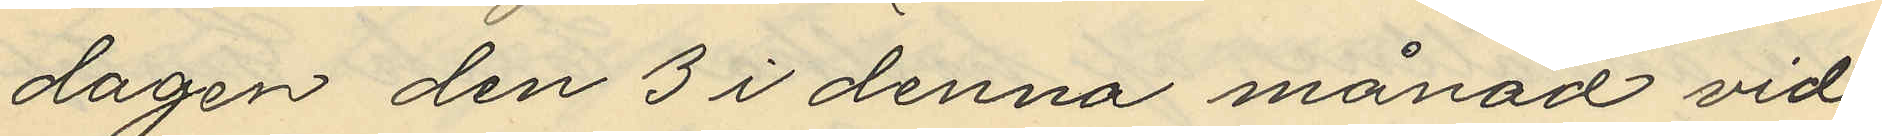dagen den 3 i denna månad vid
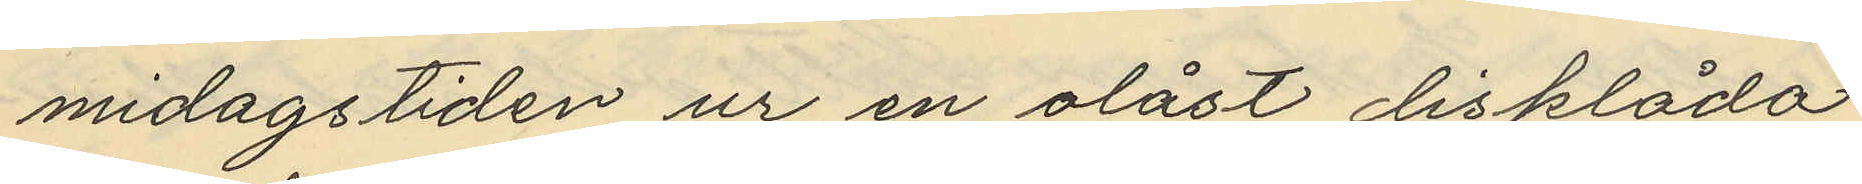midagstiden ur en olåst disklåda
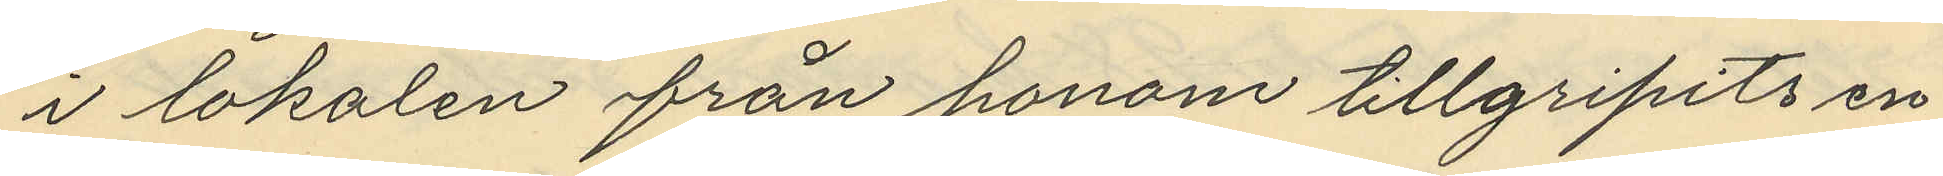i lokalen från honom tillgripits en
